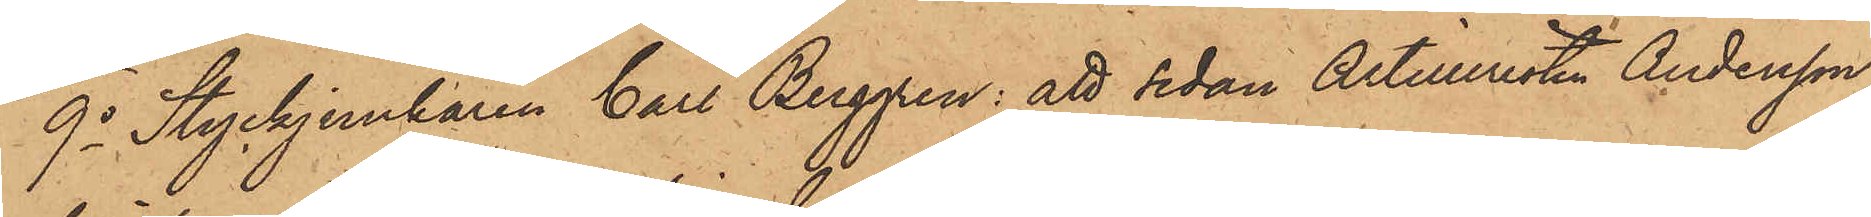9o Styckjunkaren Carl Berggren: att sedan Artilleristen Andersson,
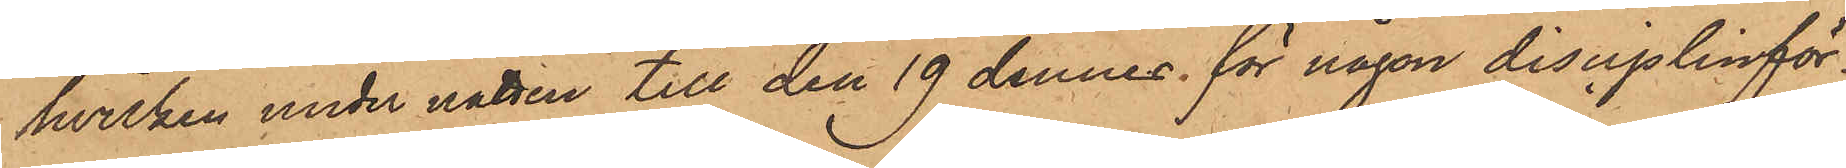hvilken under natten till den 19 dennes för någon disciplinför¬
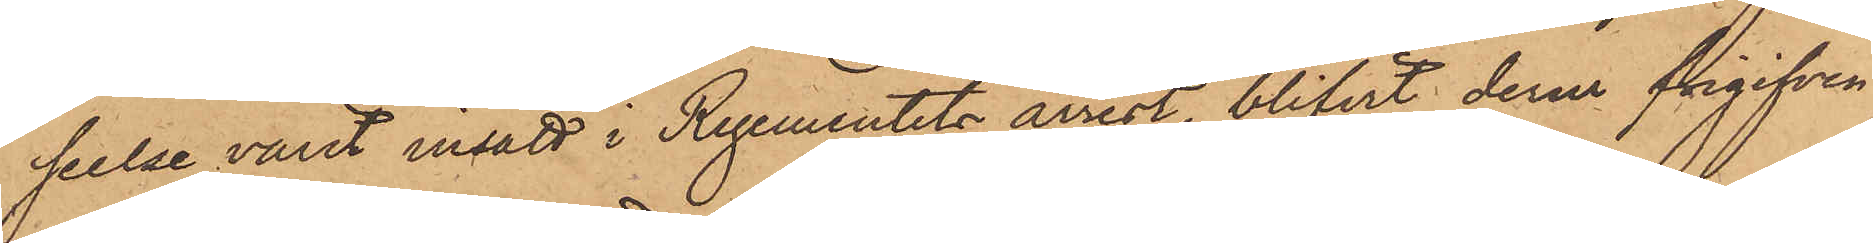seelse varit insatt i Regementets arrest, blifvit derur frigifven
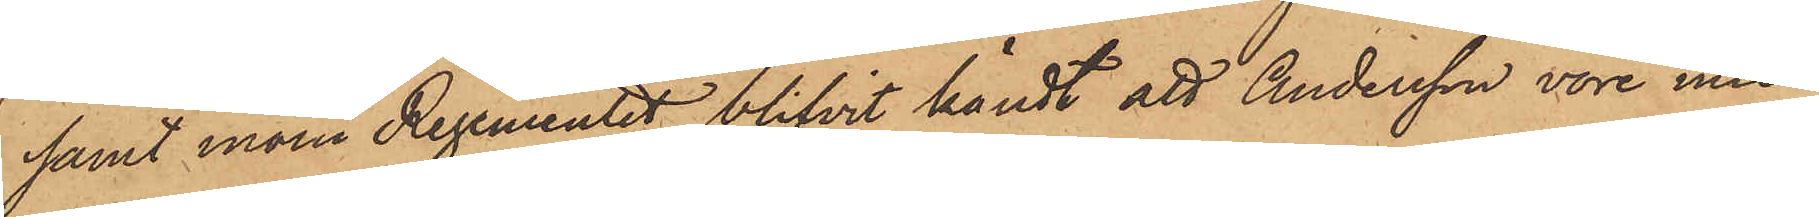samt inom Regementet blifvit kändt att Andersson vore miss¬
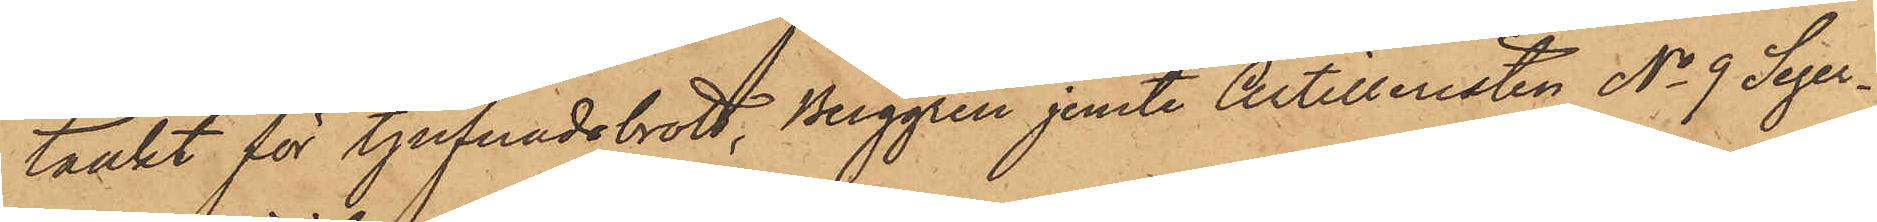tänkt för tjufnadsbrott, Berggren jemte Artilleristen No 9 Seger¬
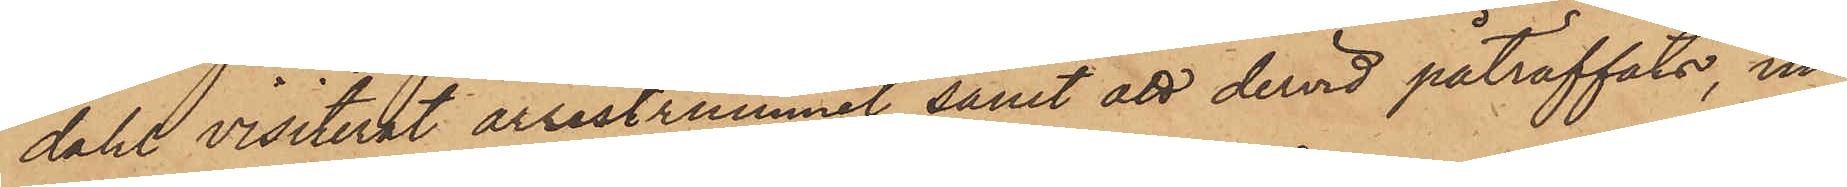dahl visiterat arrestrummet samt att dervid påträffat, in¬
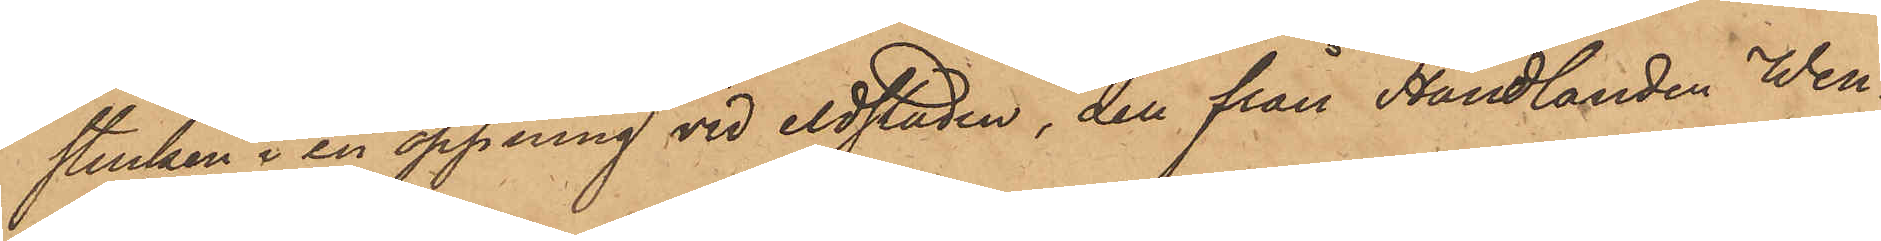stucken i en öppning vid eldstaden, den från Handlanden Wen¬
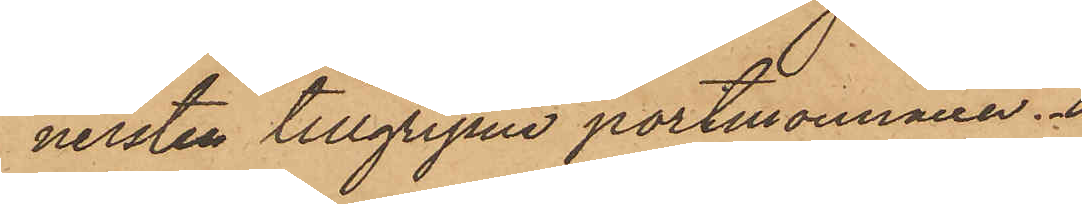nersten tillgripne portmonnaien.
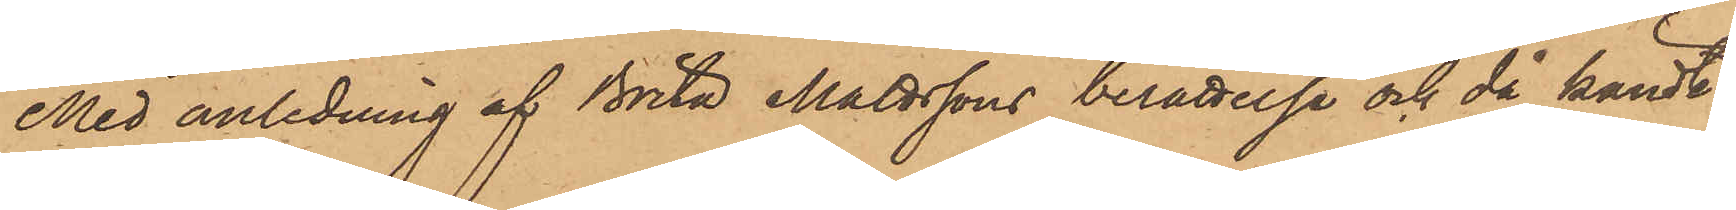Med anledning af Brita Mattssons berättelse och då kändt
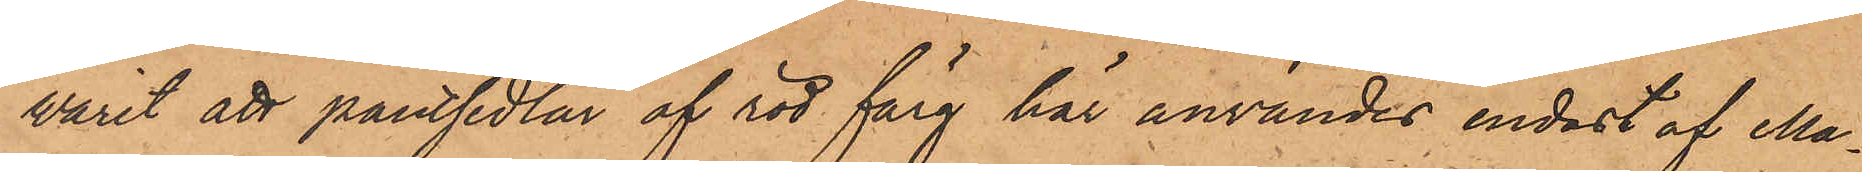varit att pantsedlar af röd färg här användes endast af Ma¬
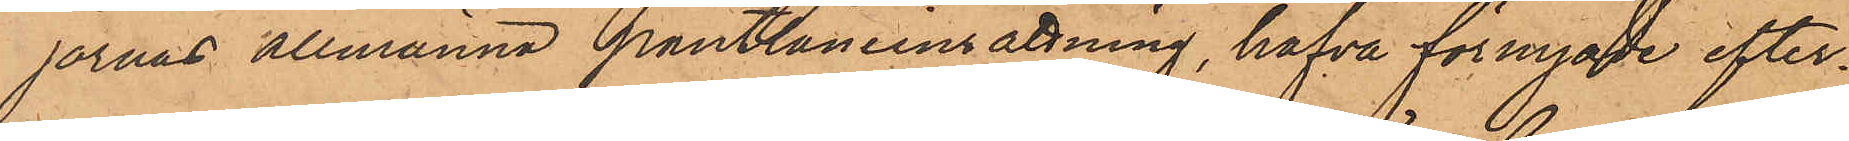jornas allmänna pantlåneinrättning, hafva förnyade efter¬
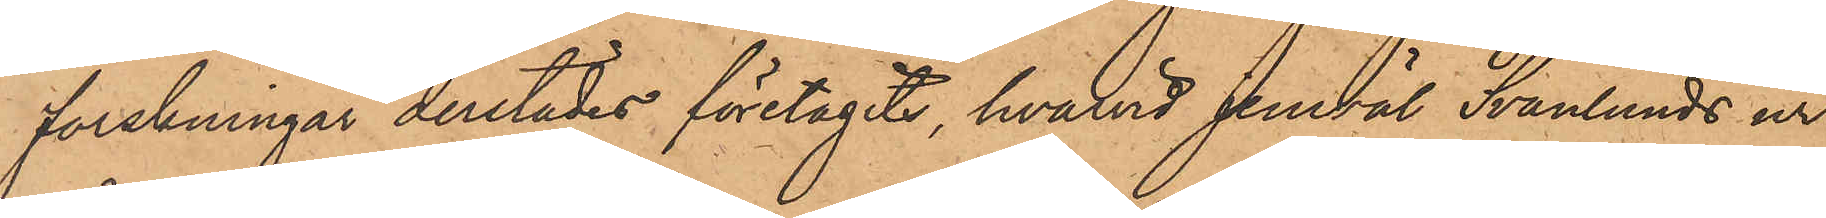forskningar derstädes företagits, hvarvid jemväl Svanlunds ur
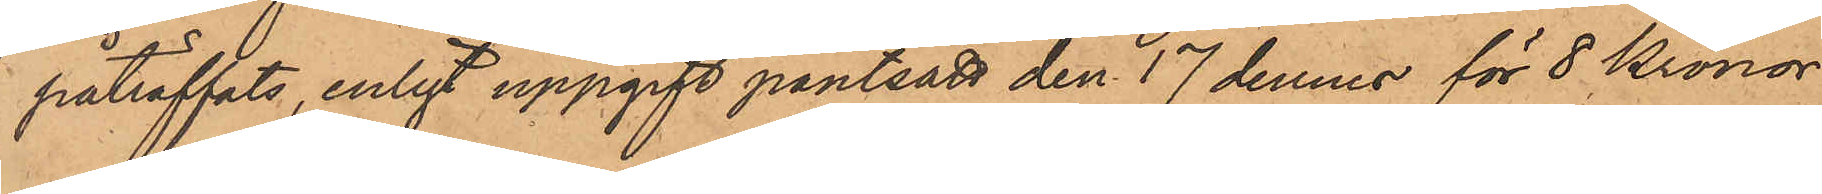påträffats, enligt uppgift pantsatt den 17 dennes för 8 Kronor
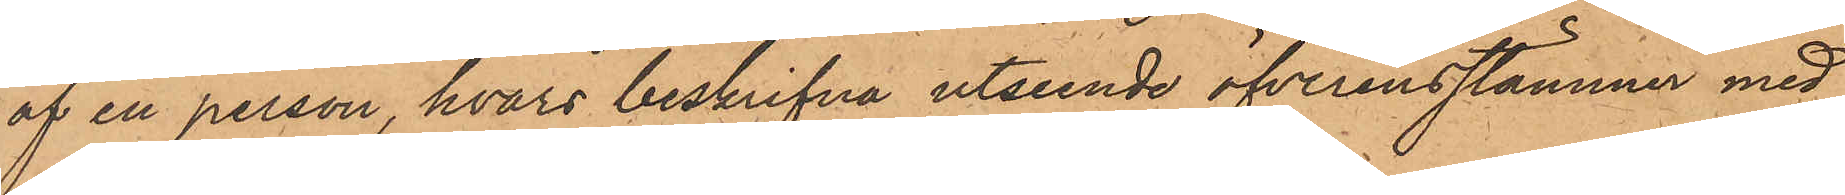af en person, hvars beskrifna utseende öfverensstämmer med
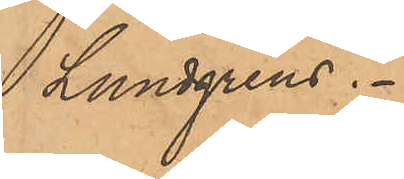 Lundgrens.
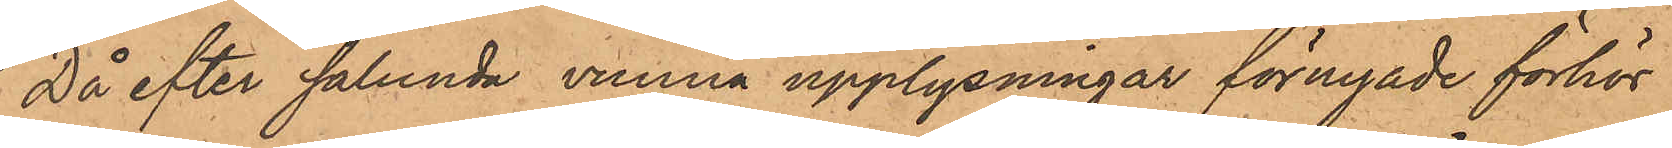Då efter sålunda vunna upplysningar förnyade förhör
